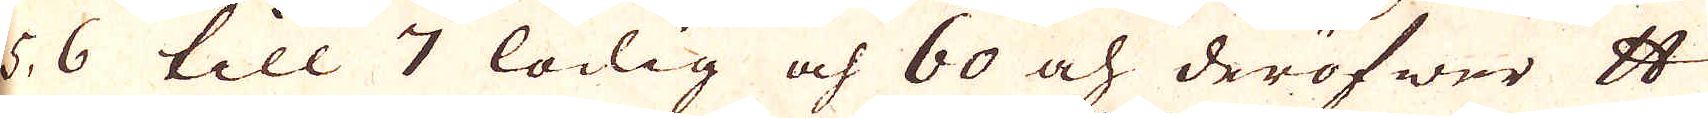5. 6 till 7 lödig och 60 och deröfwer skålpund
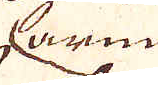arma
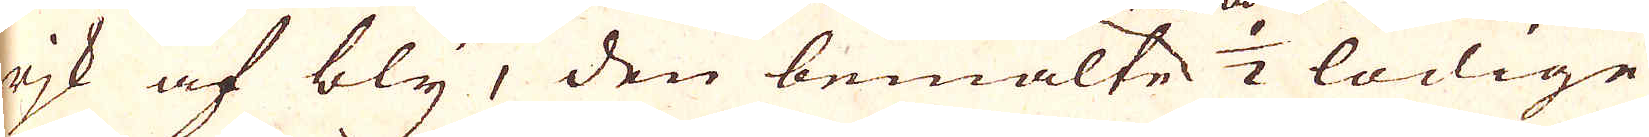rjk af bly, den bemälte 1/2 löddige
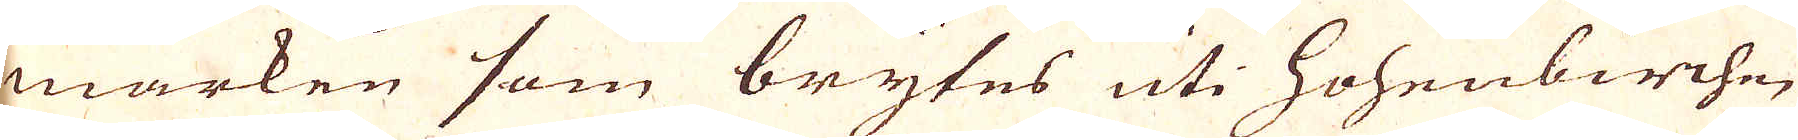marken som brytes uti Hohenbirchen
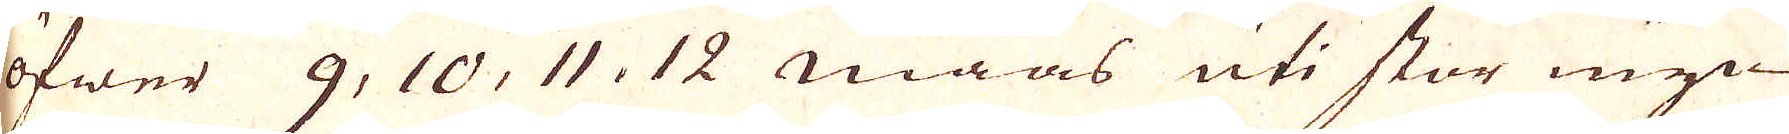öfwer 9, 10, 11. 12 maas uti stor myc-
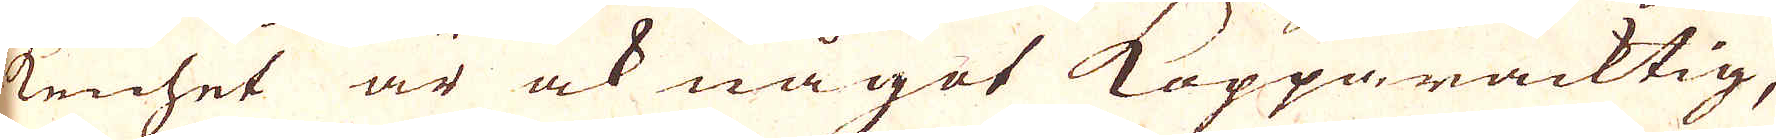kenhet är ock något Kopparacktig,
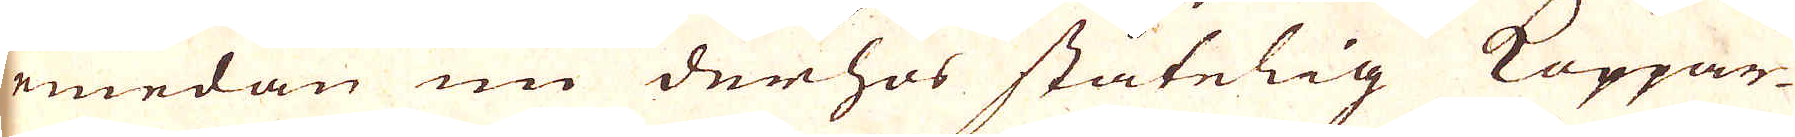emedan nu derhos ståtelig Koppar-
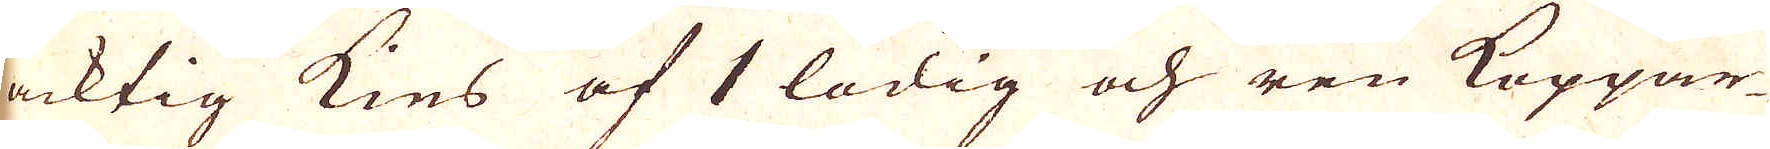acktig kies af 1 lödig och ren Koppar-
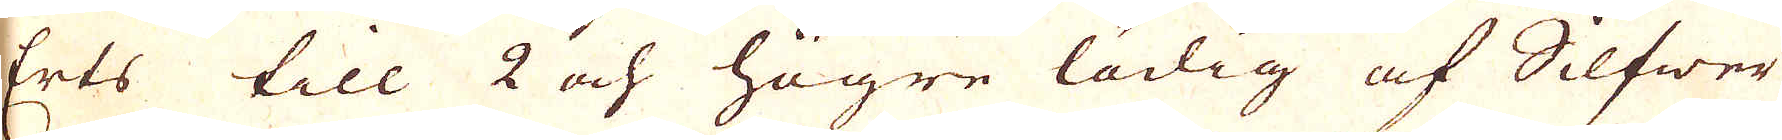Erts till 2 och högre lödig af Silfwer
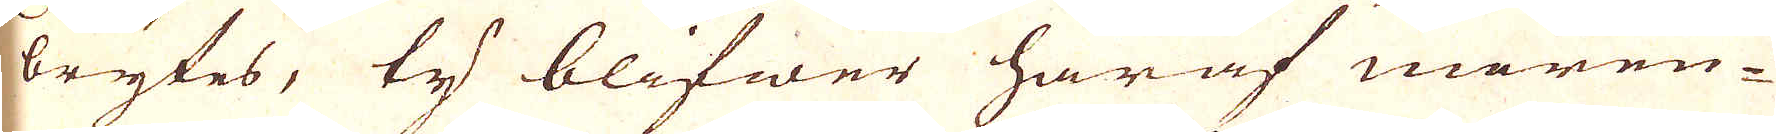brytes, ty blifwer häraf meren-
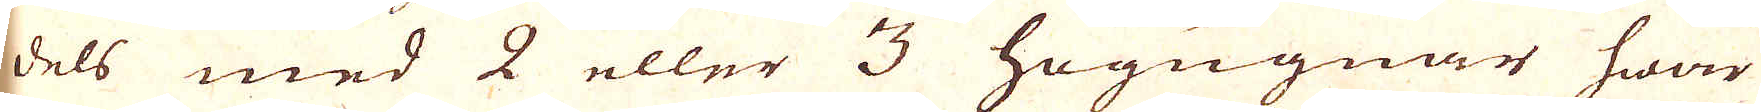dels med 2 eller 3 högungnar hwar
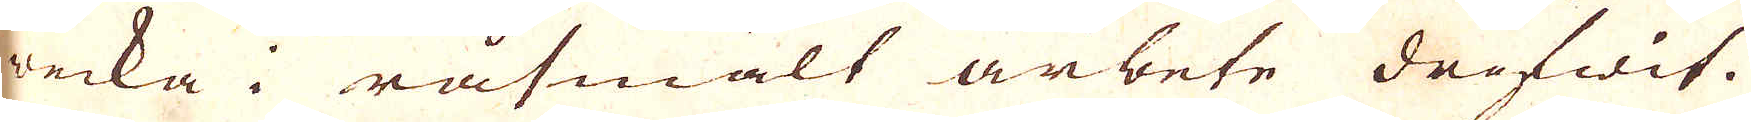wecka i råsmält arbete drifwit.
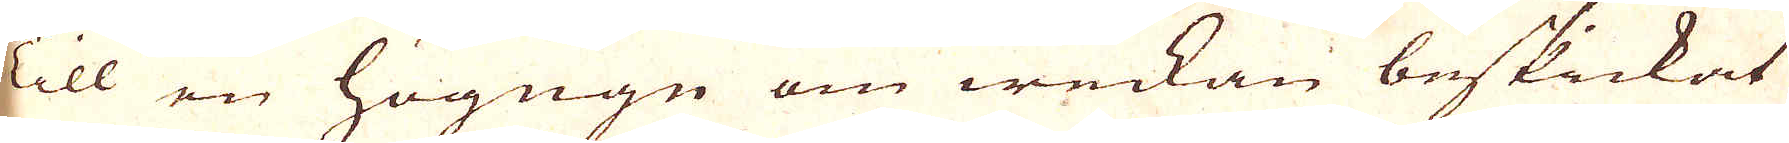till en högugn om weckan beskickat
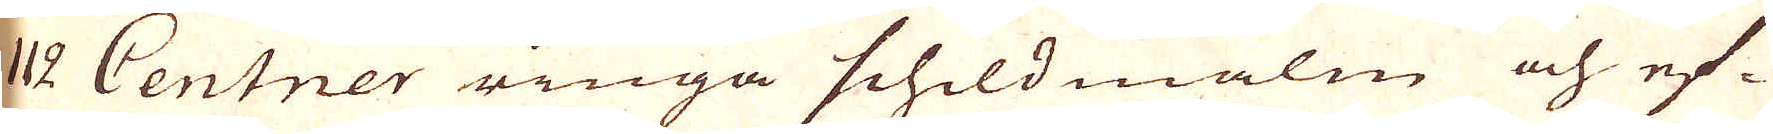112 Centner ringa schildmalm och ef-
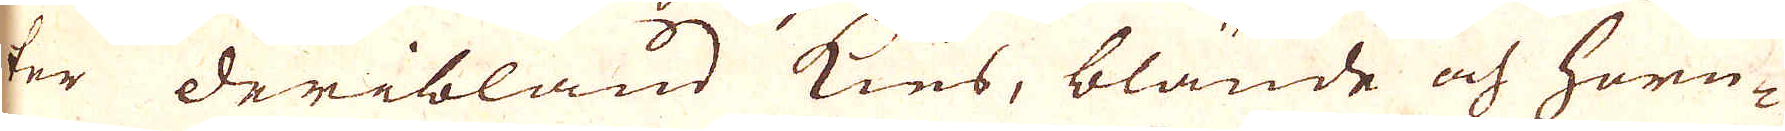ter deribland kies, blände och horn-
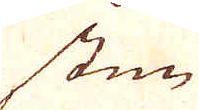sten
